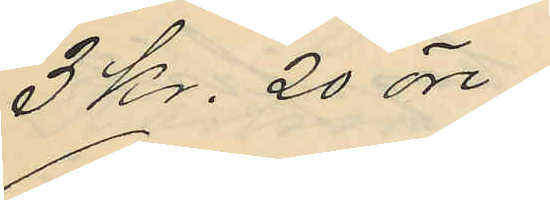3 kr. 20 öre;
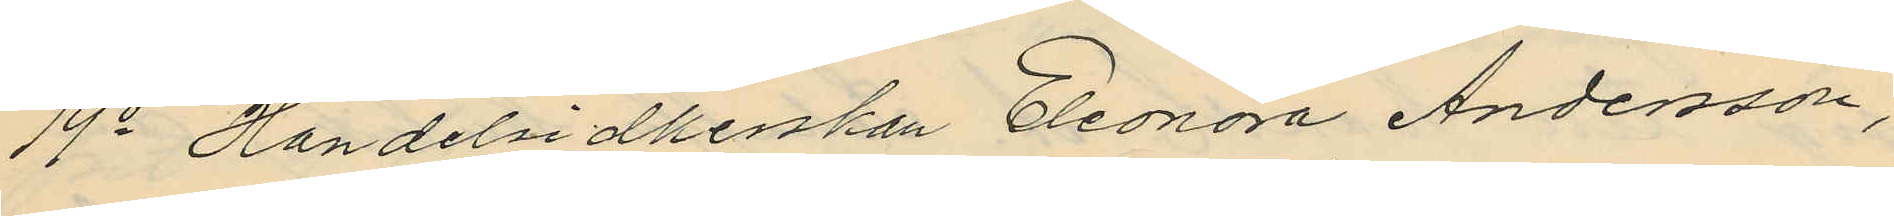19o Handelsidkerskan Eleonora Andersson,
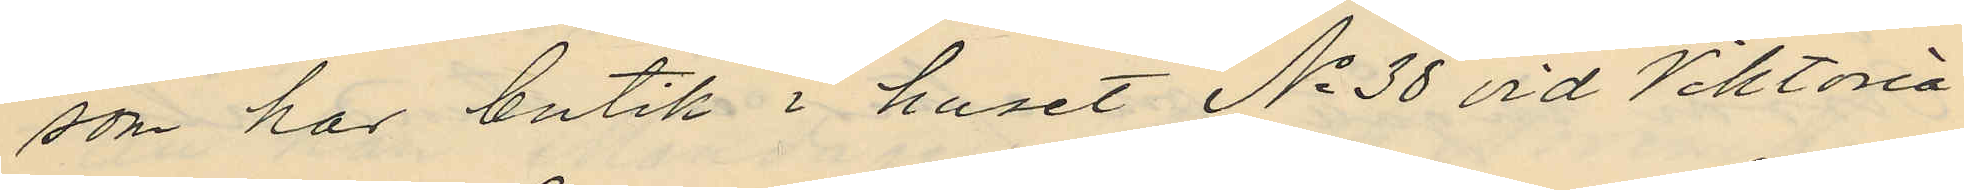som har butik i huset No 38 vid Viktoria¬
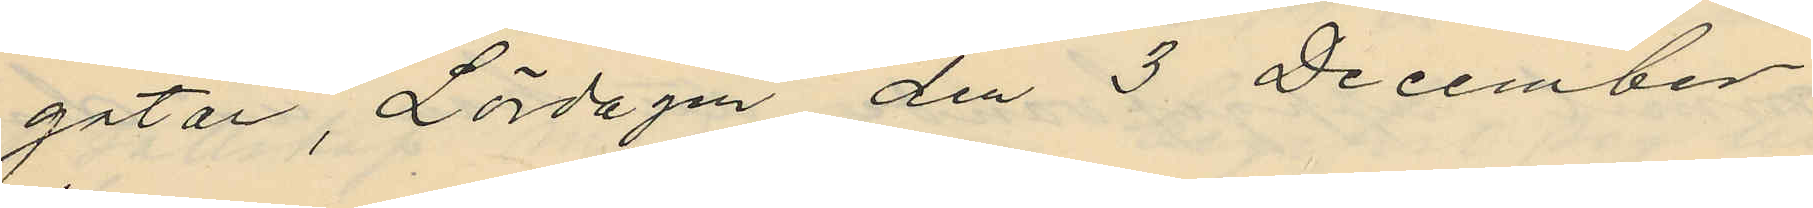gatan, Lördagen den 3 December
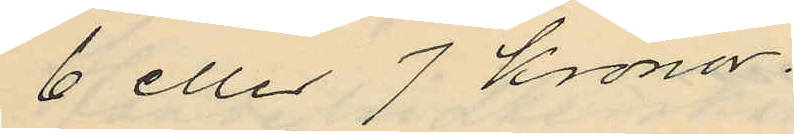6 eller 7 Kronor.
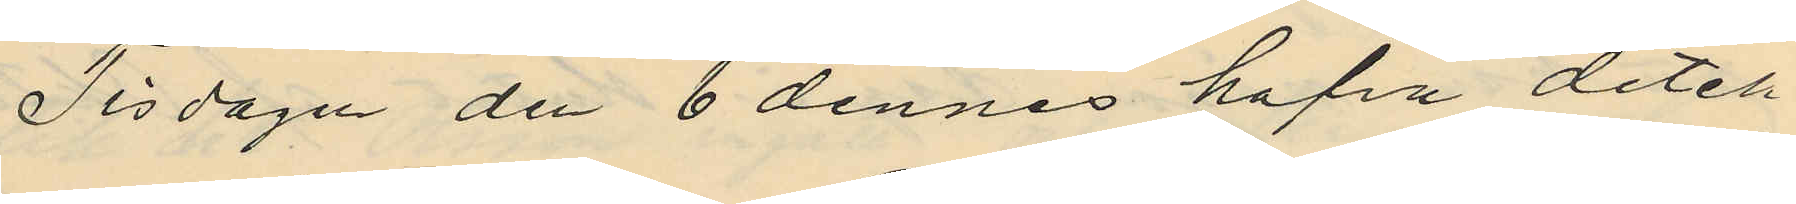Tisdagen de 6 dennes hafva detek¬
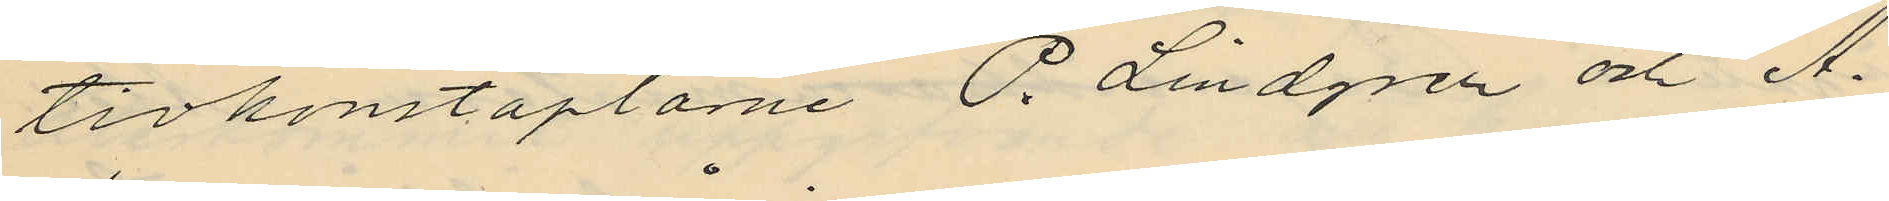tivkonstaplarne P. Lindgren och A.
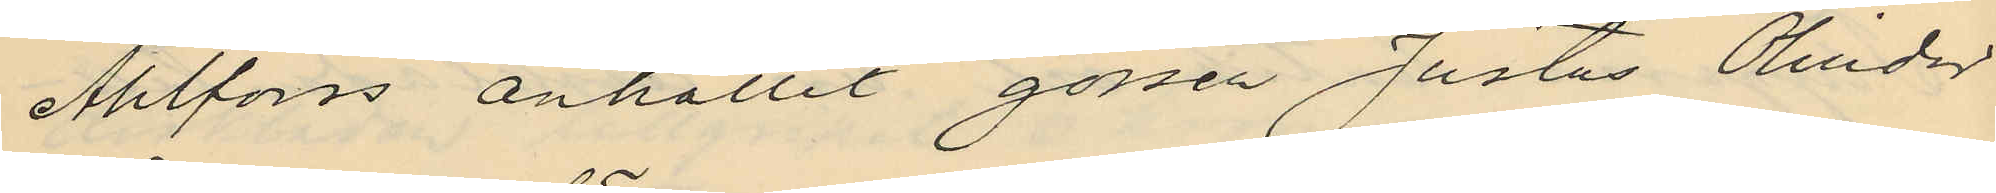Ahlforss anhållit gossen Justus Olinder
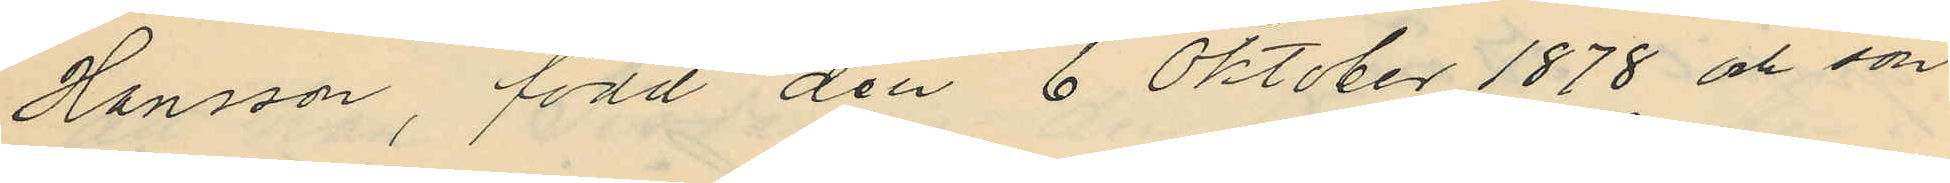Hansson, född den 6 Oktober 1878 och son
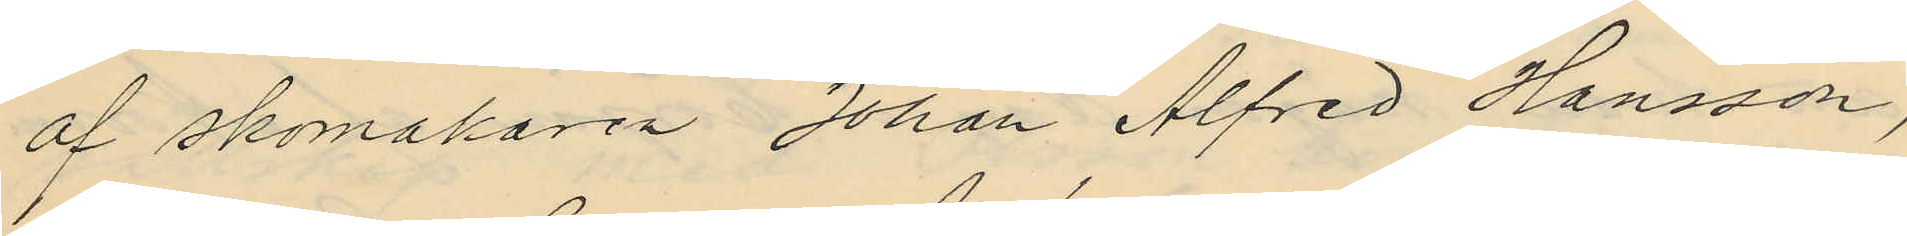af skomakaren Johan Alfred Hansson,
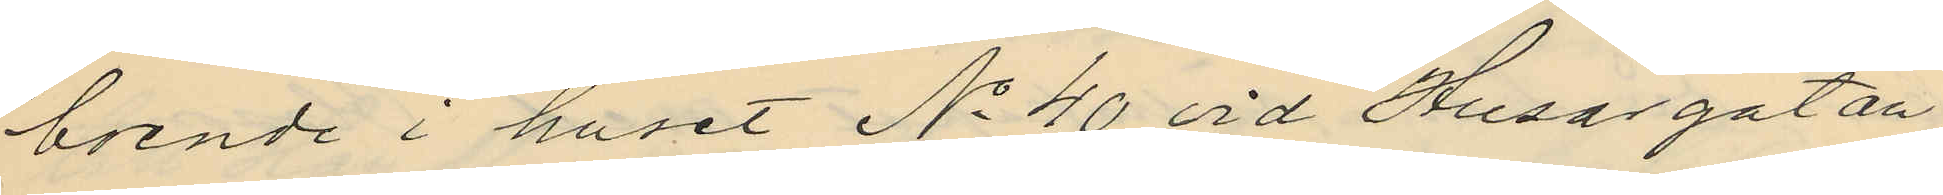boende i huset No 40 vid Husargatan
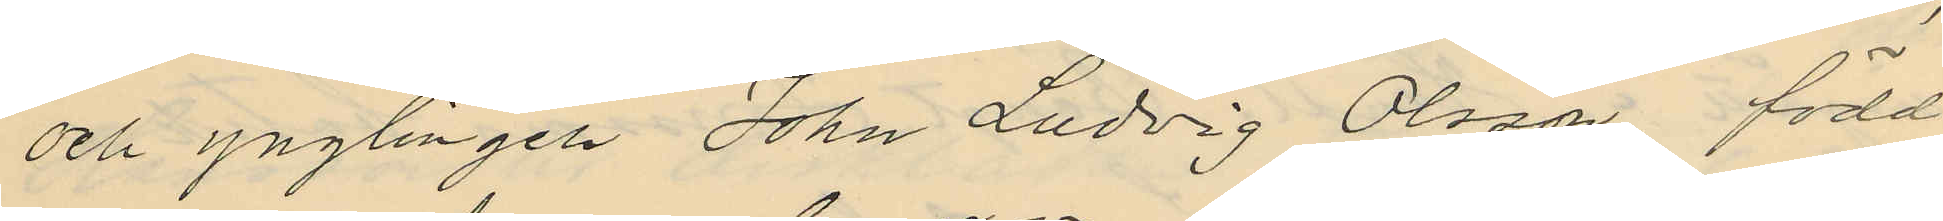och ynglingen John Ludvig Olsson, född
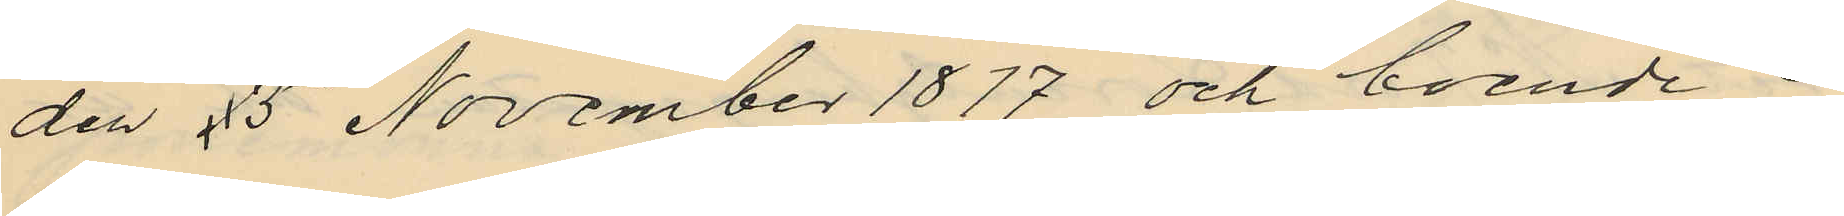den 15 November 1877 och boende i
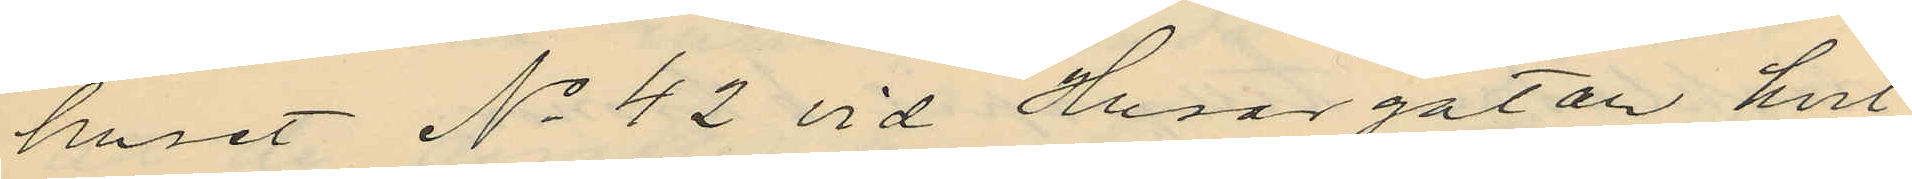huset No 42 vid Husargatan hvil¬
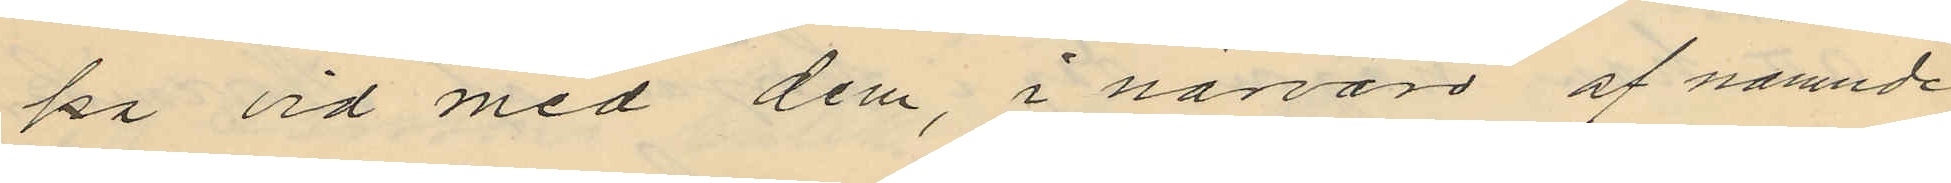ka vid med dem, i närvaro af nämnde
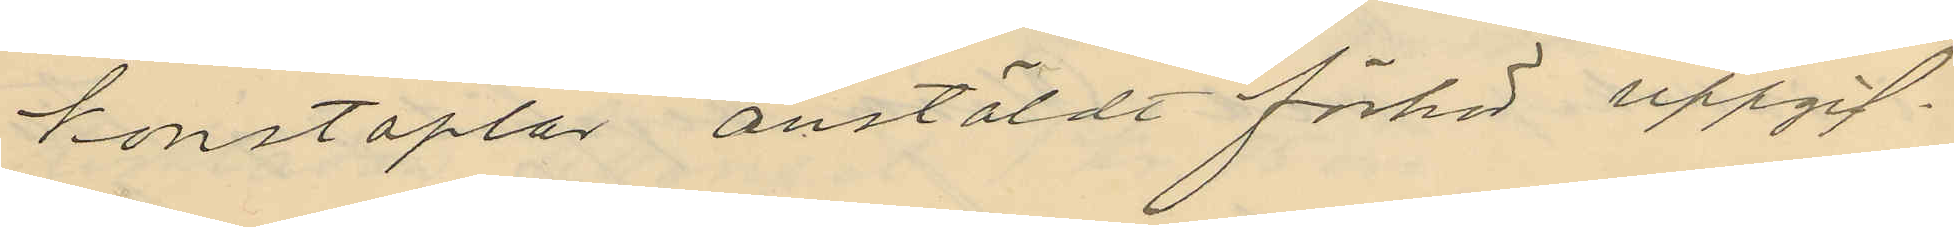konstaplar anstäldt förhör uppgif¬
